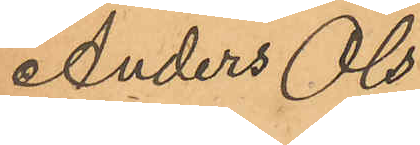Anders Ols¬
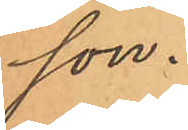son.
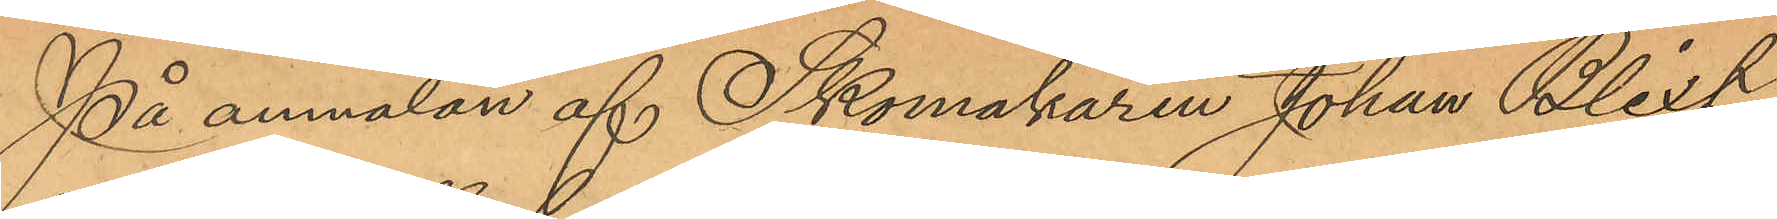På anmälan af Skomakaren Johan Blixt,
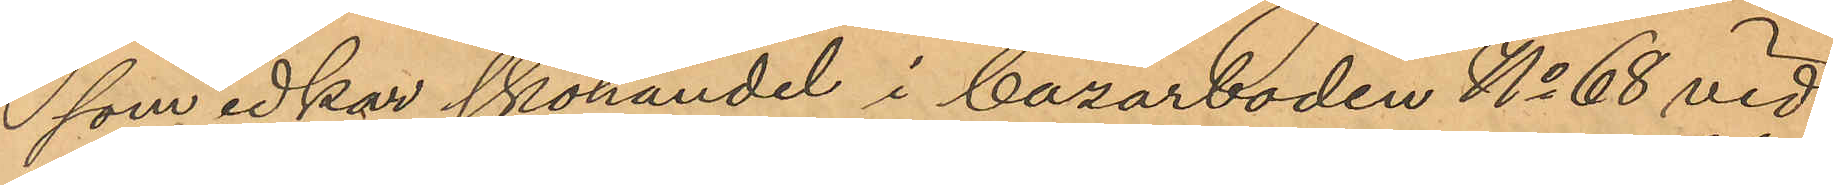som idkar skohandel i bazarboden No 68 vid
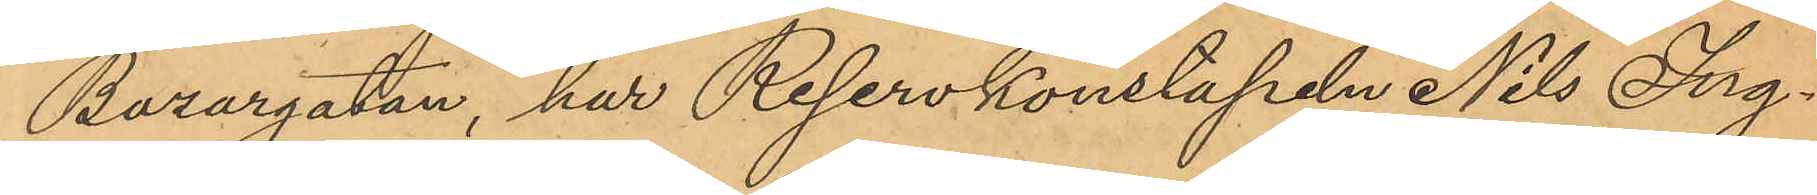Bazargatan, har Reservkonstapeln Nils Ing¬
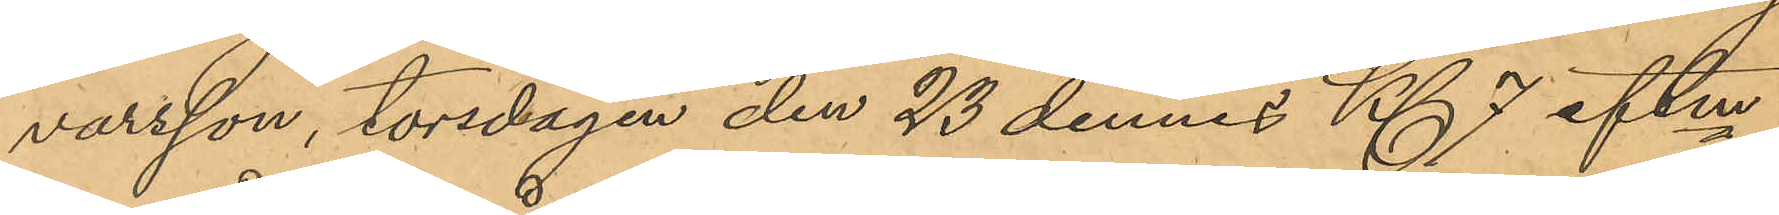varsson, torsdagen den 23 dennes Kl 7 eftm
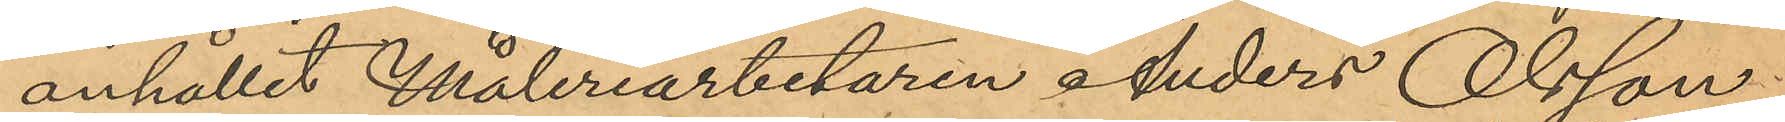anhållit Måleriarbetaren Anders Olsson,
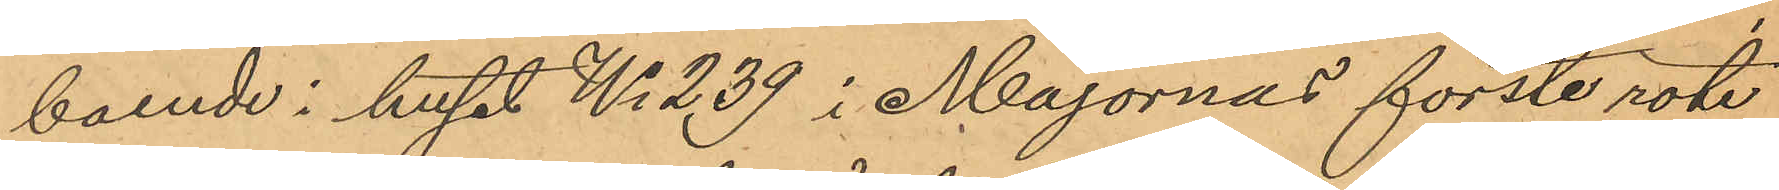boende i huset No 239 i Majornas förste rote,
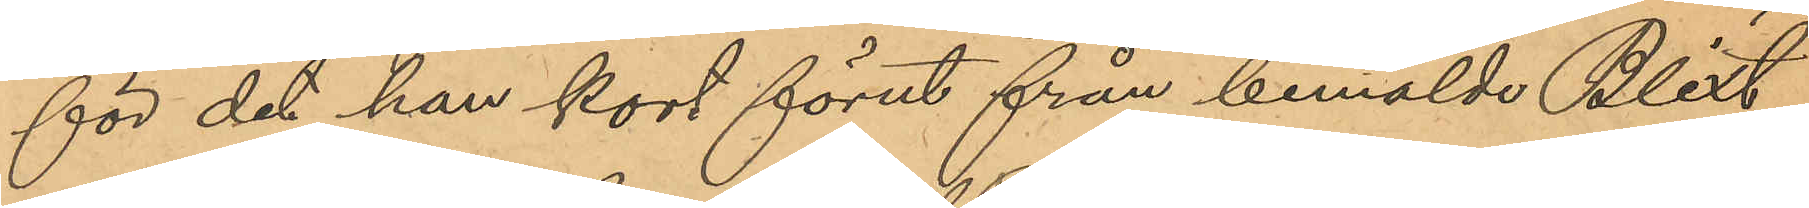för det han kort förut från bemälde Blixt
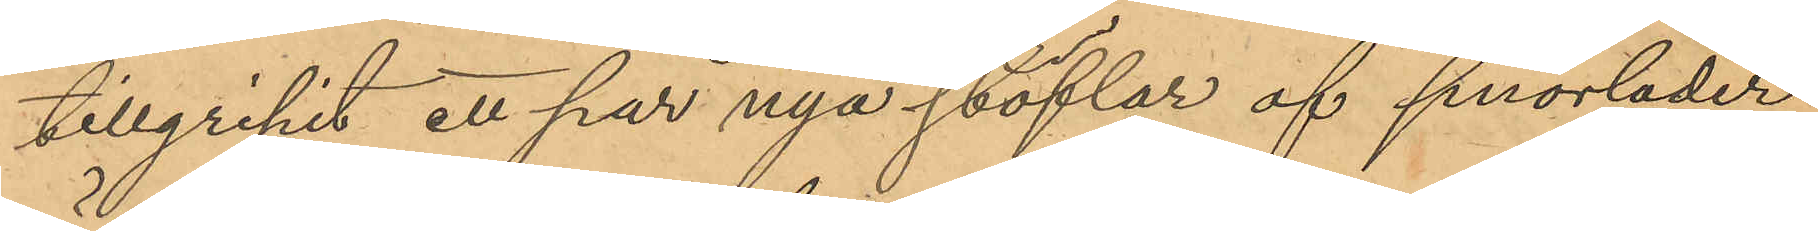tillgripit ett par nya stöflar af snorläder,
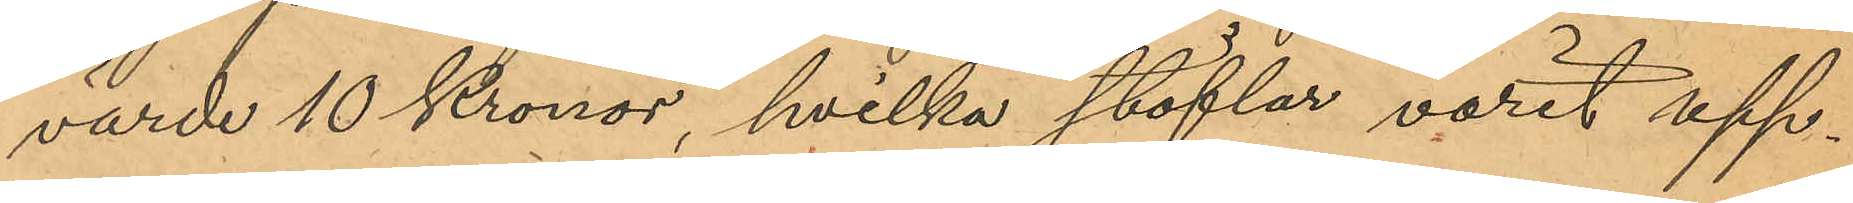värde 10 Kronor, hvilka stöflar varit upp¬
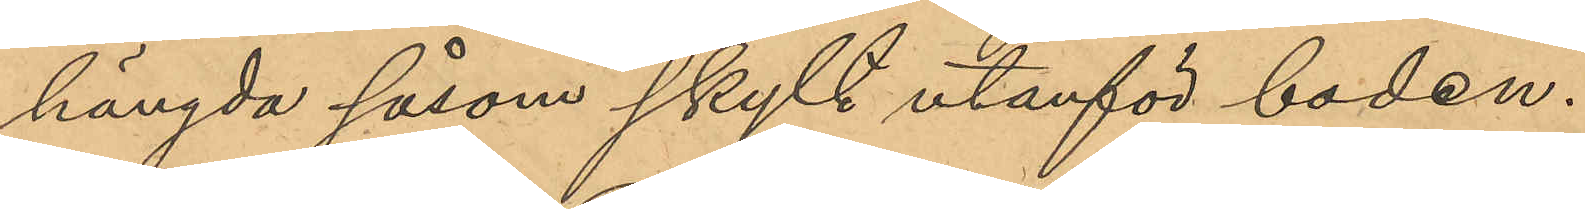hängda såsom skylt utanför boden.
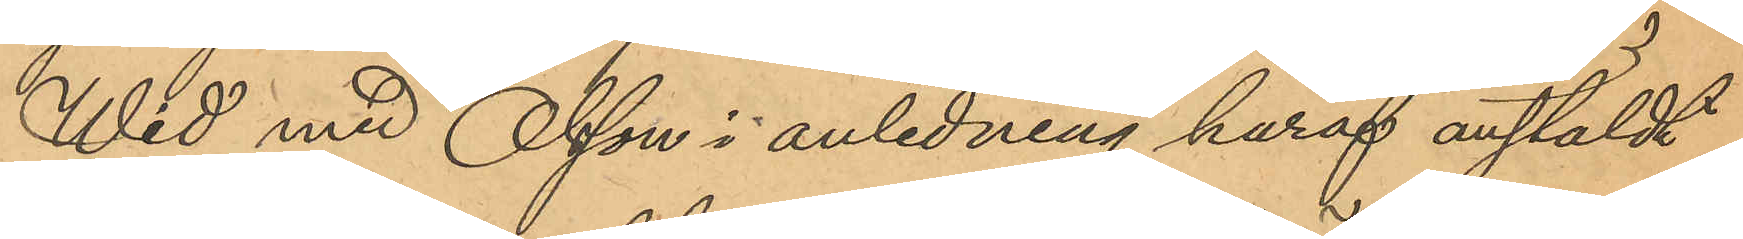Wid med Olsson i anledning häraf anstäldt
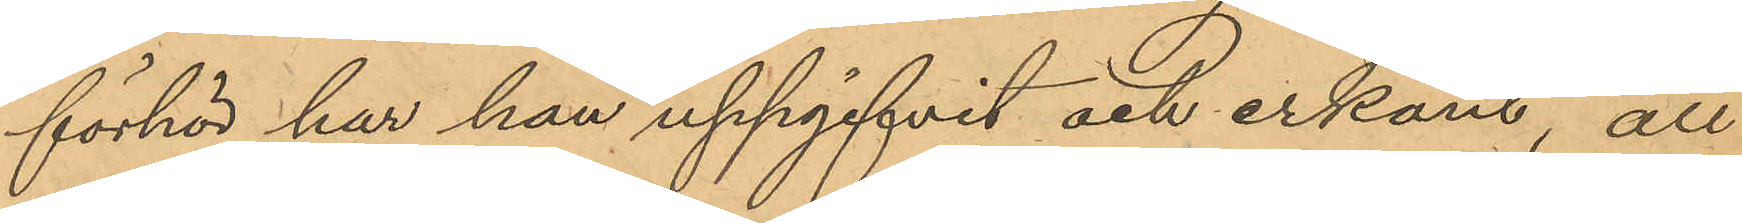förhör har han uppgifvit och erkänt, att
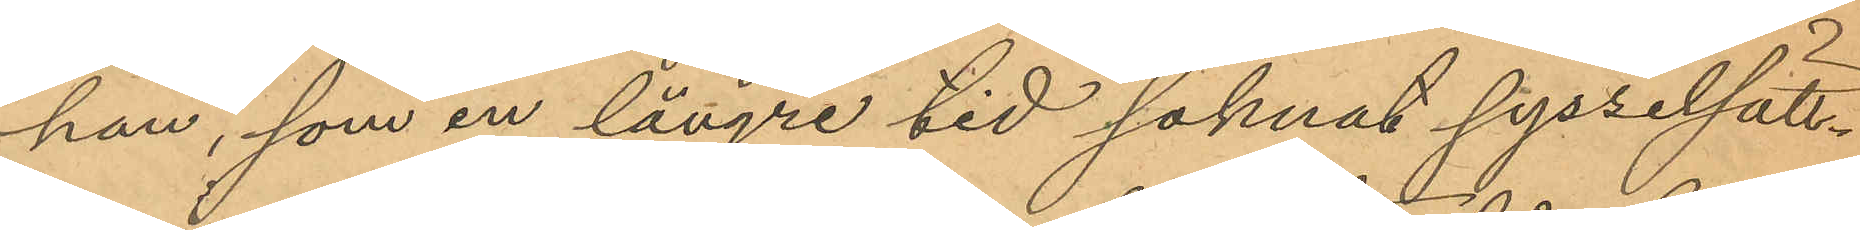han, som en längre tid saknat sysselsätt¬
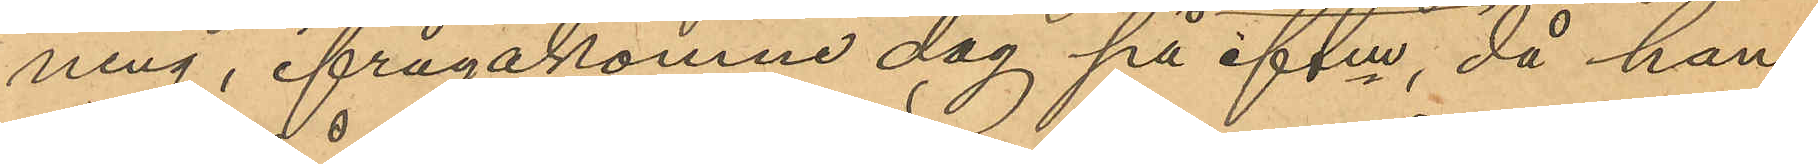ning, ifrågakomne dag på eftm, då han
